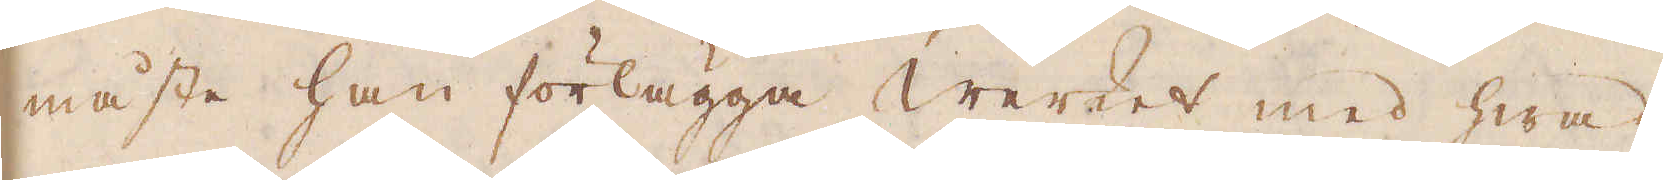måste han förlägga Werket med hwad
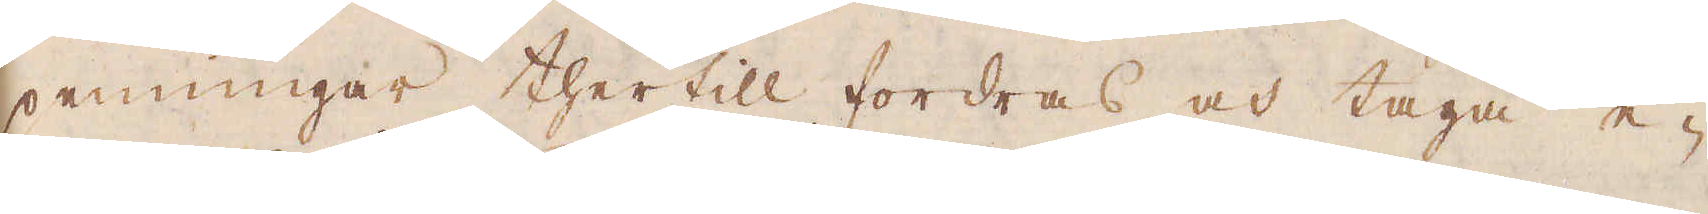penningar thertill fordras och taga e-
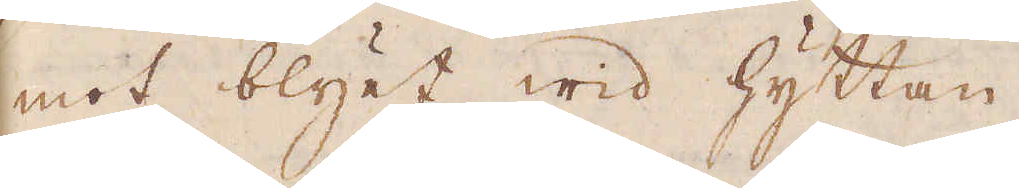mot blyet wid hyttan
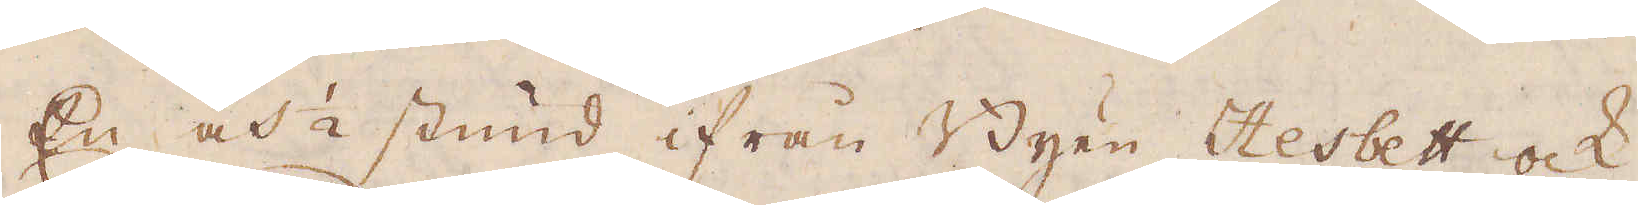En och 1/2 stund ifrån Byen Hesbett ock
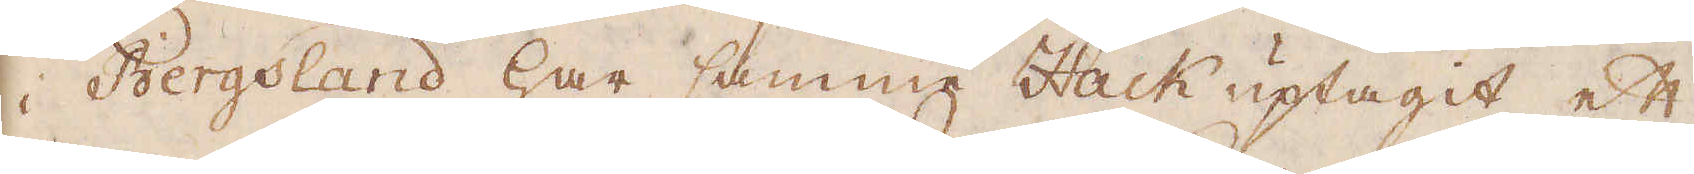i Bergsland har samma Hack uptagit ett
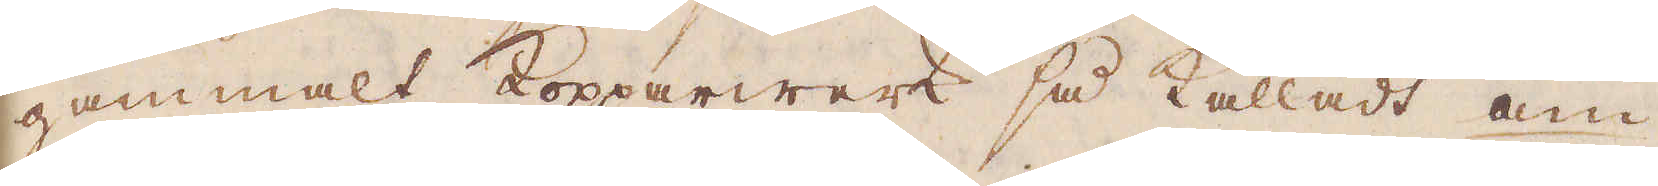gammalt Kopparwerk så kalladt am-
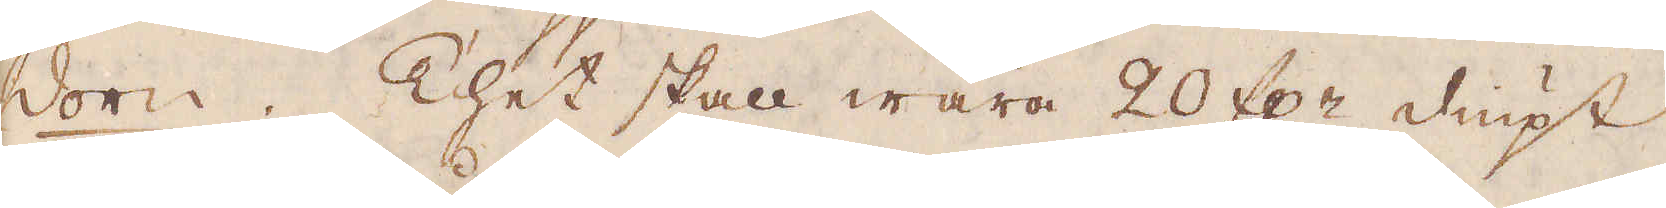dorn. Thet skall wara 20 f:r diupt
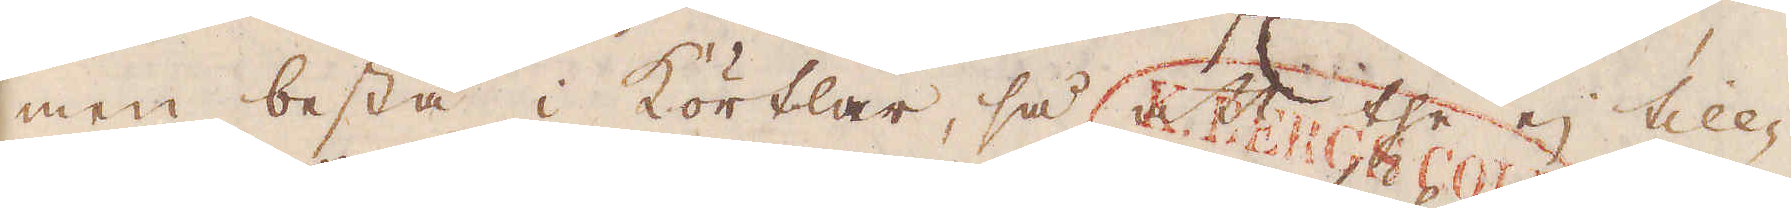men bestå i Körtlar, så att the ej
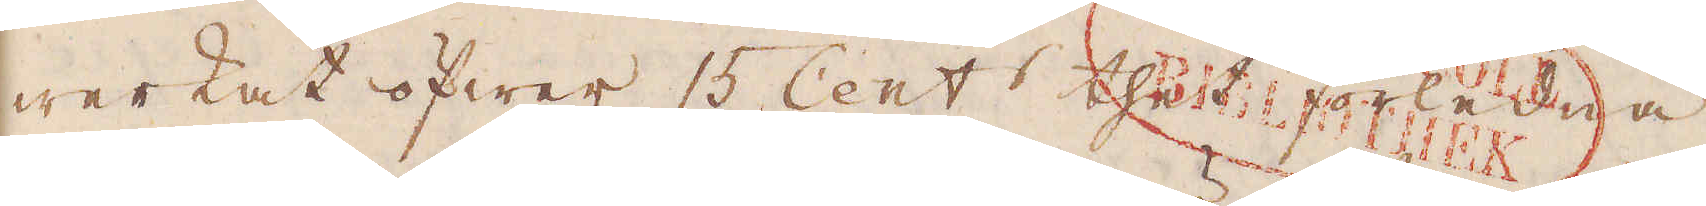werkat öfwer 15 Cent:r thet förledna
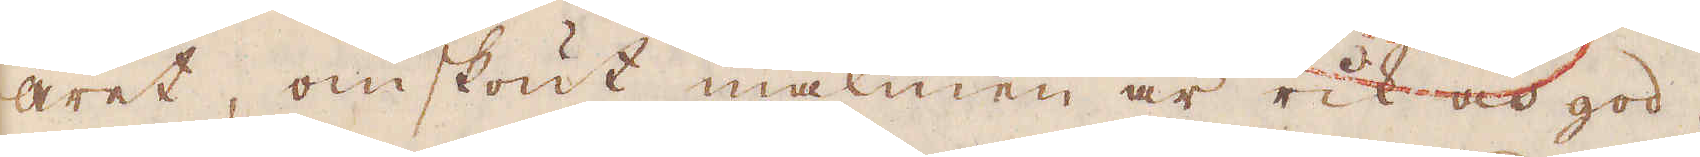året, omskönt malmen är rik och god.
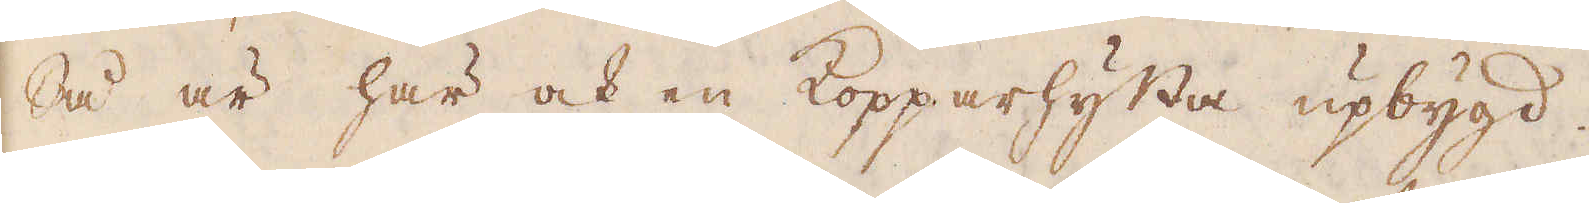Så är här ock en kopparhytta upbygd.
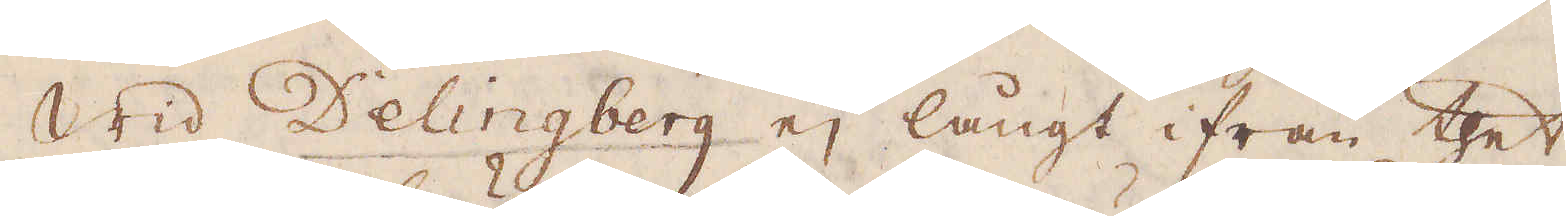Wid Delingberg ej långt ifrån thet
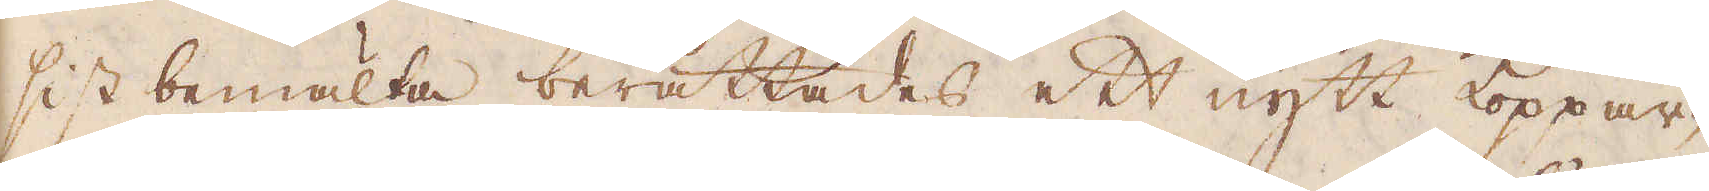sist bemälta berättades ett nytt koppar-
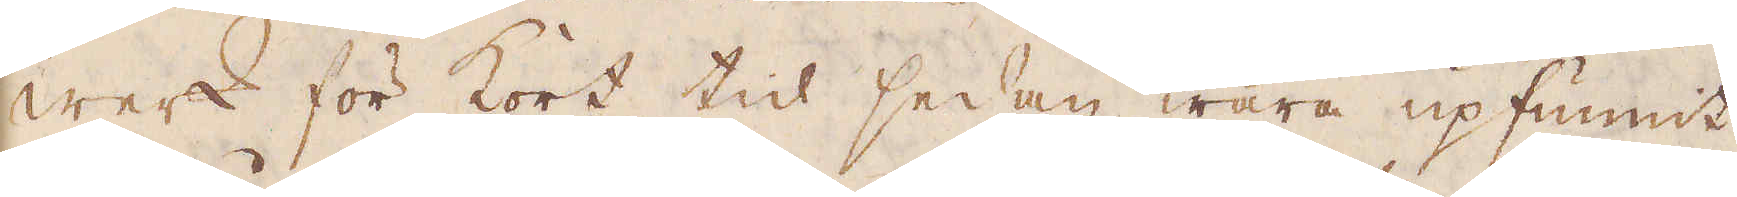werk för kort tid sedan wara upfunnit
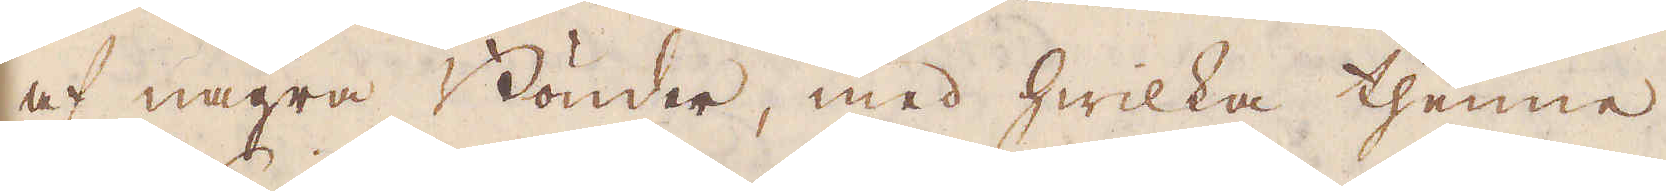af några Bönder, med hwilka thenne
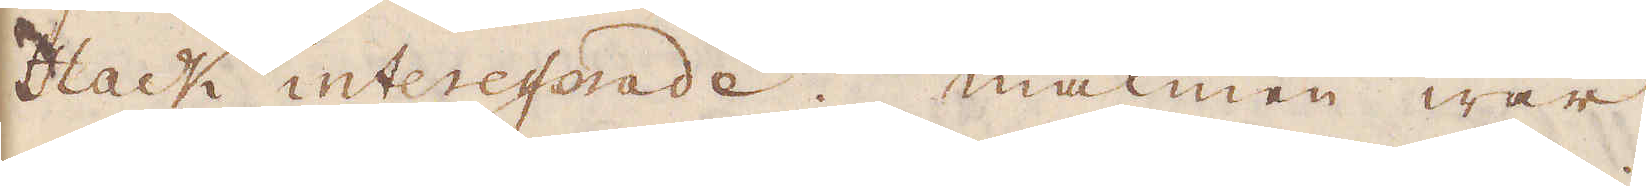Hack interesserade. Malmen war
